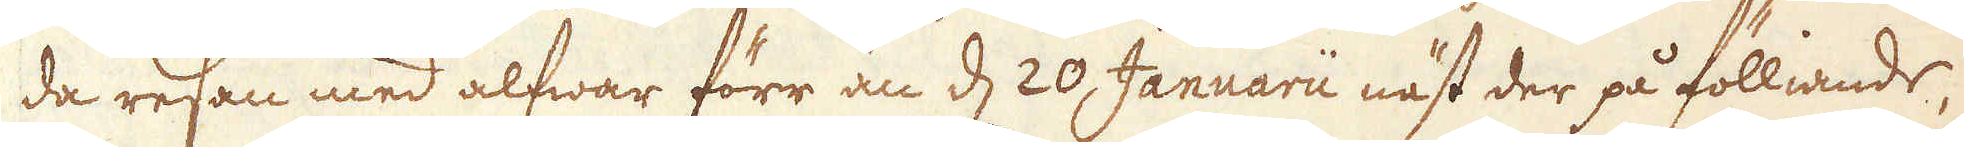da resen med alfwar förr än d 20, Januarii näst der på fölliande,
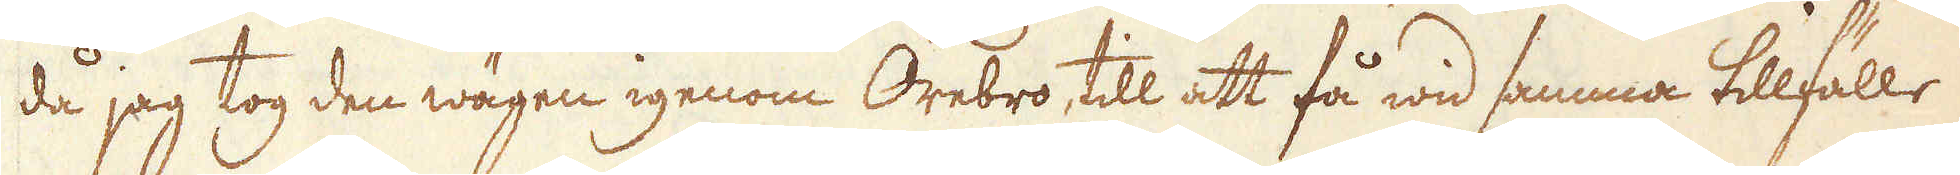då jag tog den wägen igenom Örebro, till att få wid samma tillfälle
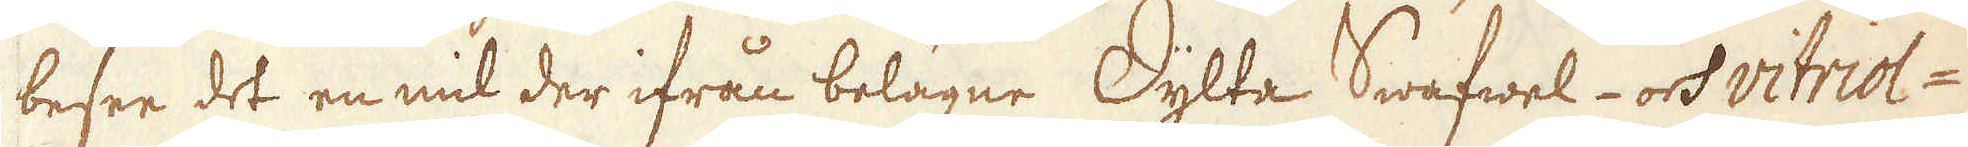bese det en mil der ifrån belägne Dylte Swafwel- ok vitriol-
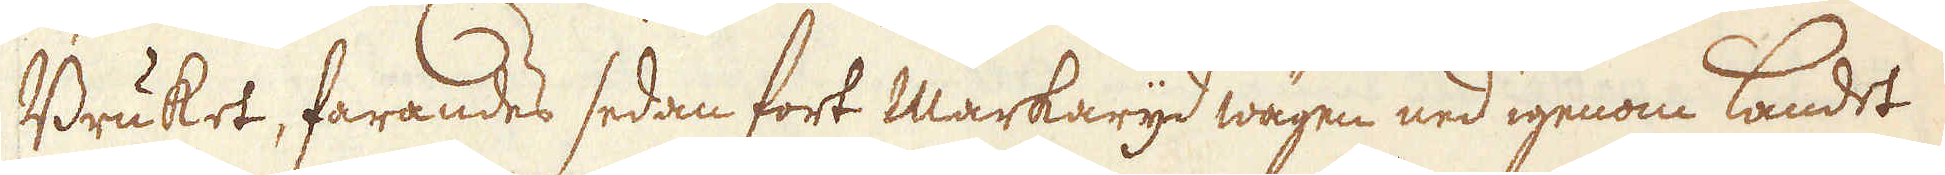Bruket, farandes sedan fort Markaryd wägen ned igenom landet
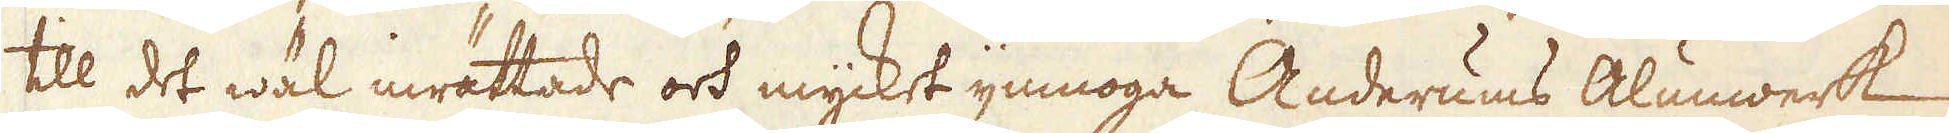till det wäl inrättade ock mycket ymnoga Anderums Alunwerk
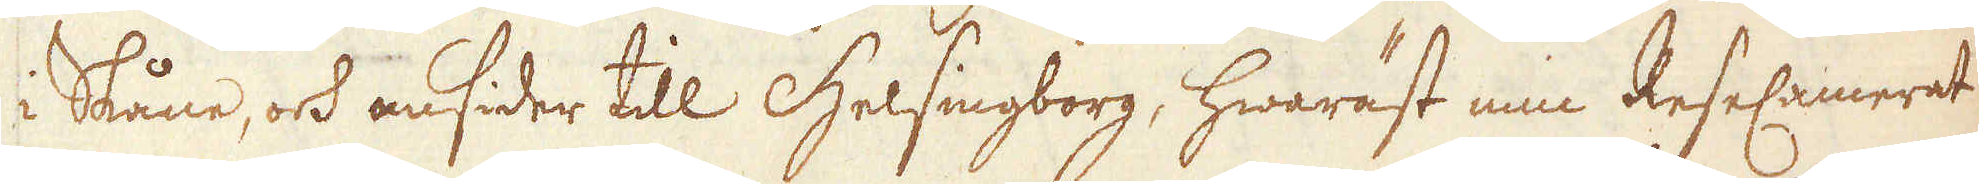i Skåne, ock omsider till Helsingborg, hwaräst min ReseCamerat
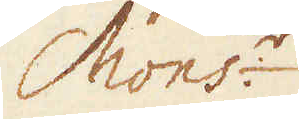Mons:r
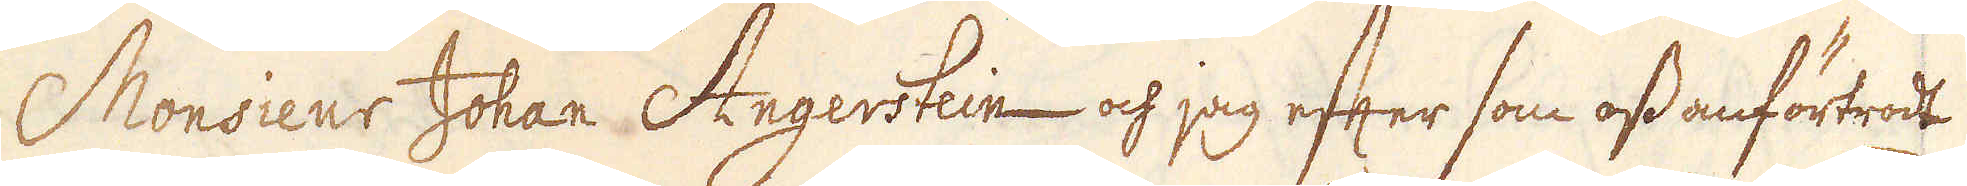Monsieur Johan Angerstein och jag efter som oss anförtrodt
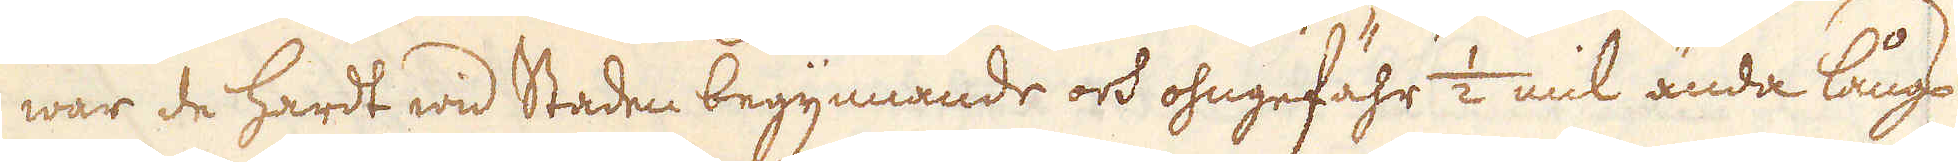war de hardt wid Staden begynnande ock ohngefähr 1/2 mil ända långs
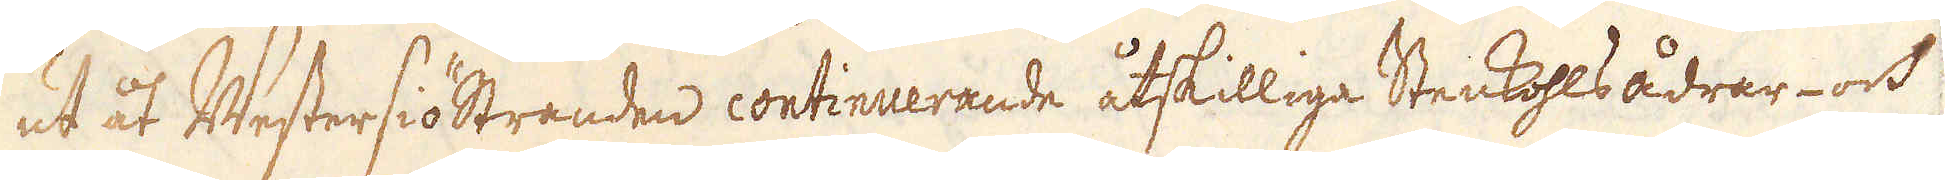ut åt Westersiöstranden continuerande åtskilliga Stenkohls ådrar- och
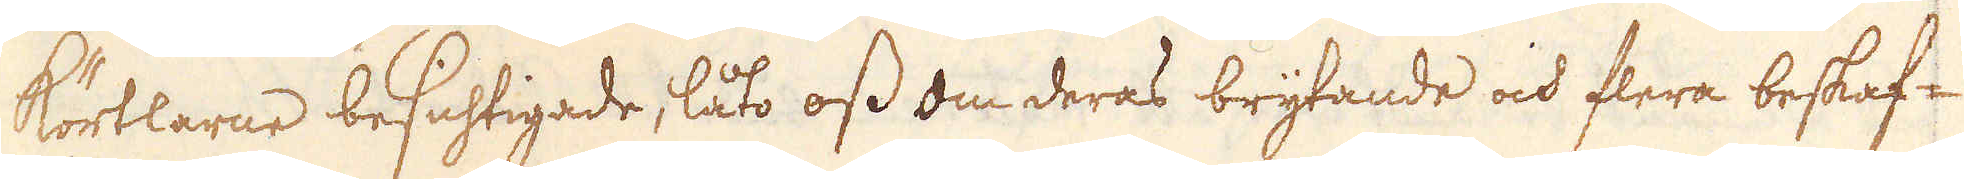Körtlarne besichtigade, låto oss om deras brytande och flera beskaf-
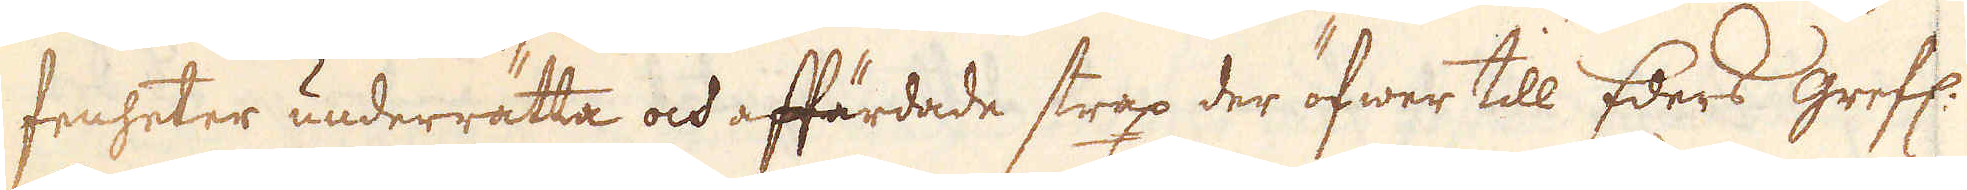fenheter underrätta ock affärdade stax der öfwer till Eders Grefl.
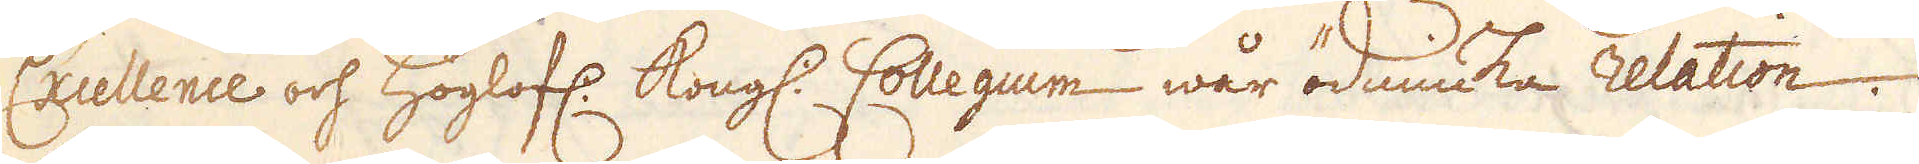Exellence och höglofl: Kongl. Collegium wår ödiuka relation.
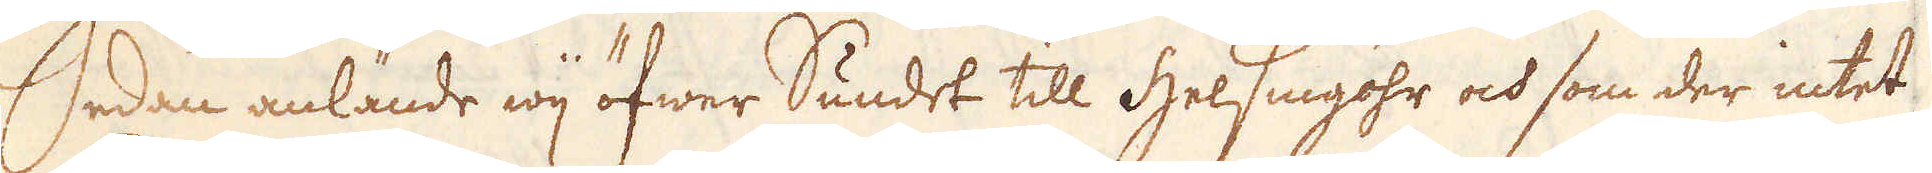Sedan anlände wij öfwer Sundet till Helsingöhr ock som der intet
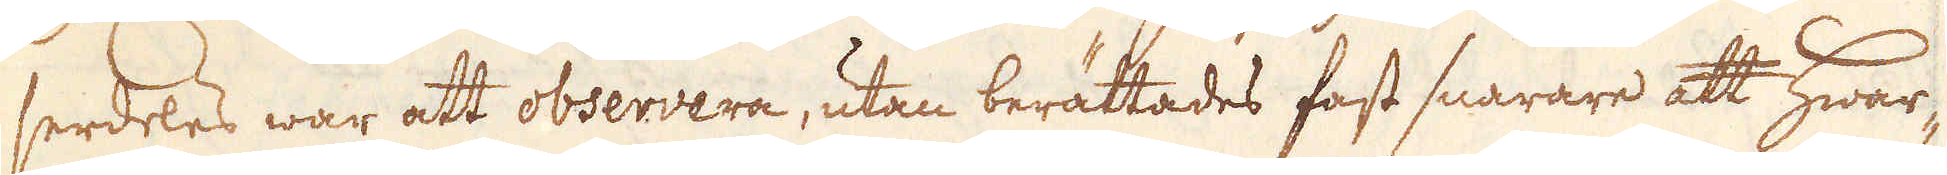serdles war att observera, utan berättades fast snarare att hwar-
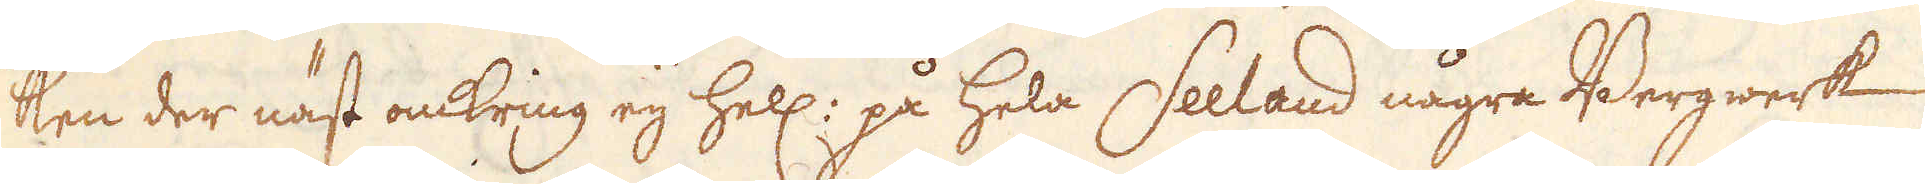ken der näst omkring eij hell: på hela Seeland några Bergwerk
